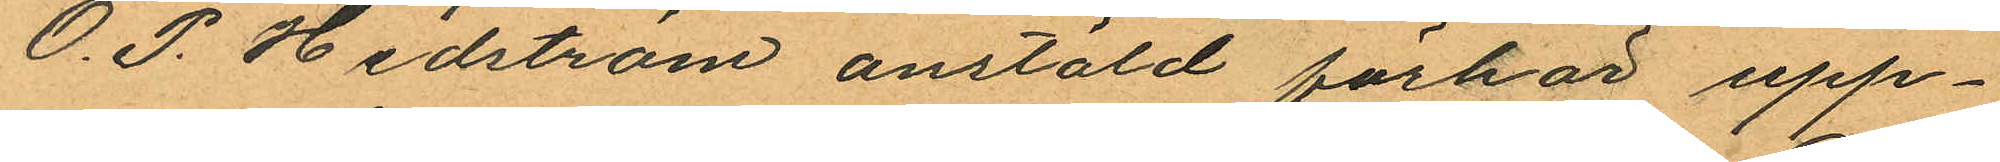O. P. Hedström anstäld förhör upp¬
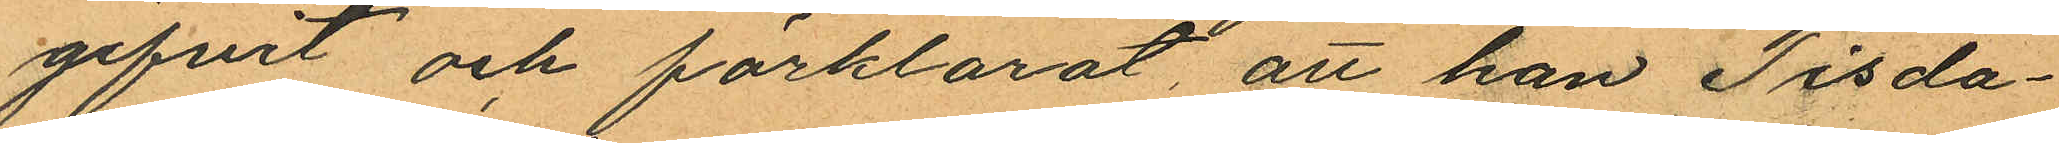gifvit och förklarat, att han Tisda¬
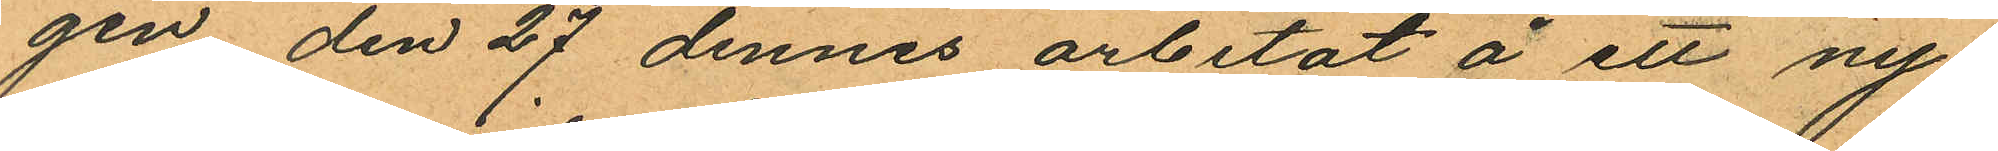gen den 27 dennes arbetat å ett ny¬
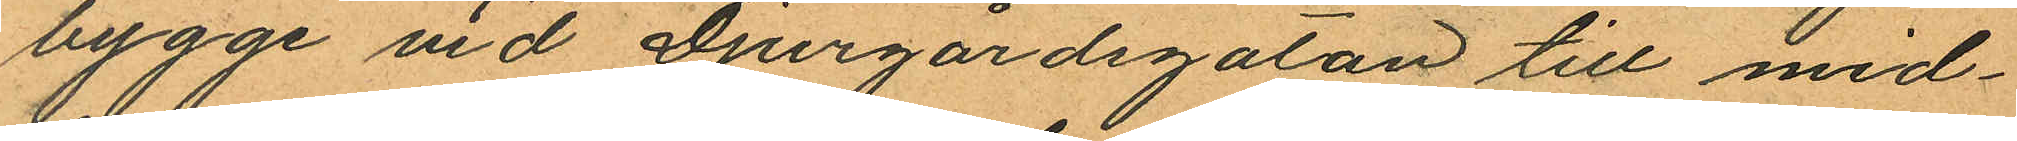bygge vid Djurgårdsgatan till mid¬
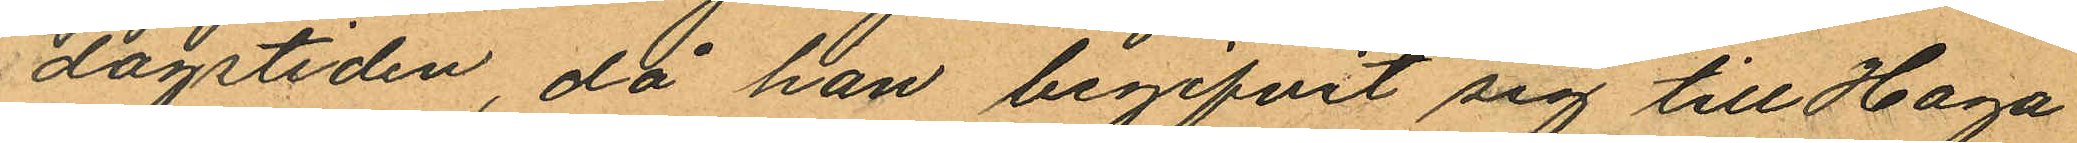dagstiden, då han begifvit sig till Haga
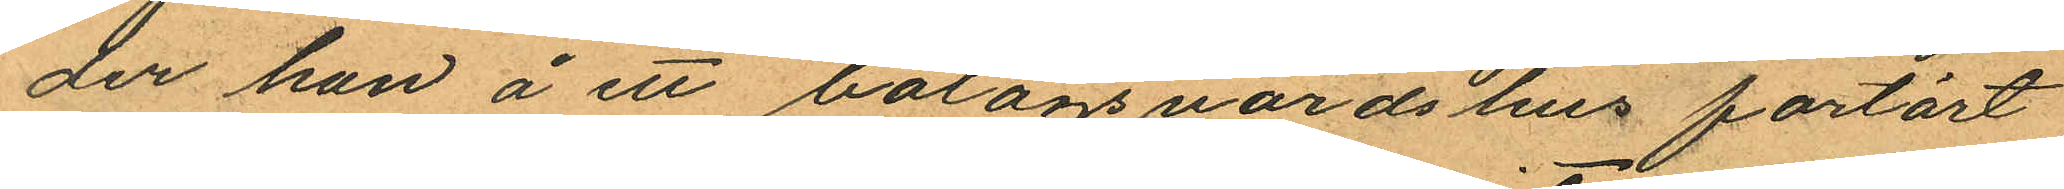der han å ett bolagsvärdshus fortärt
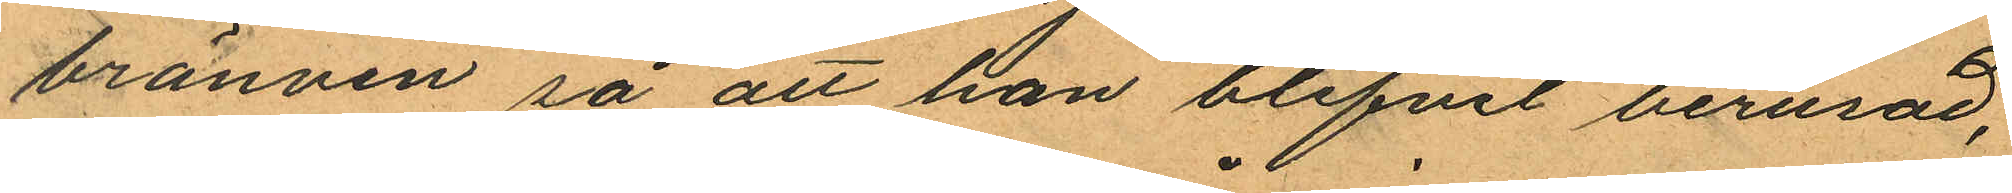bränvin så att han blifvit berusad,
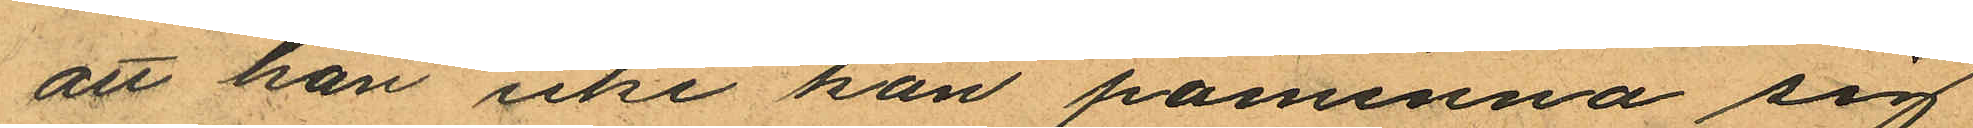att han icke kan påminna sig
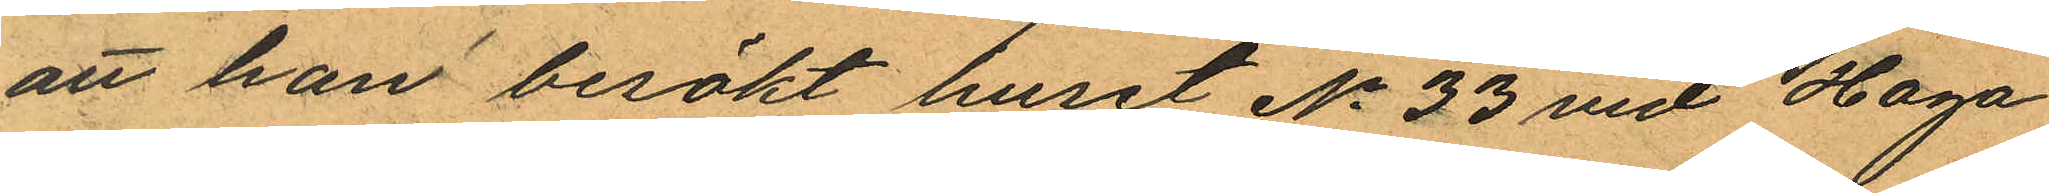att han besökt huset No 33 vid Haga
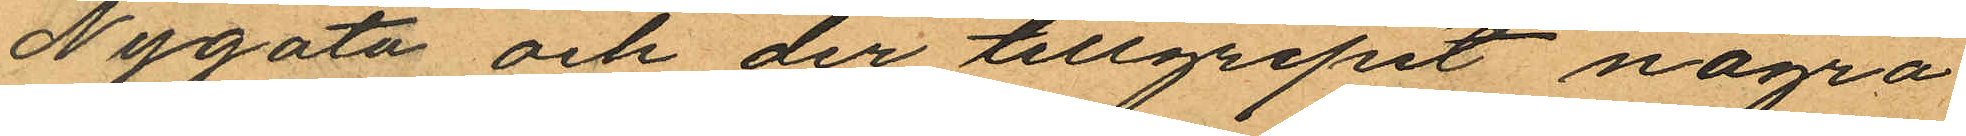Nygata och der tillgripit några
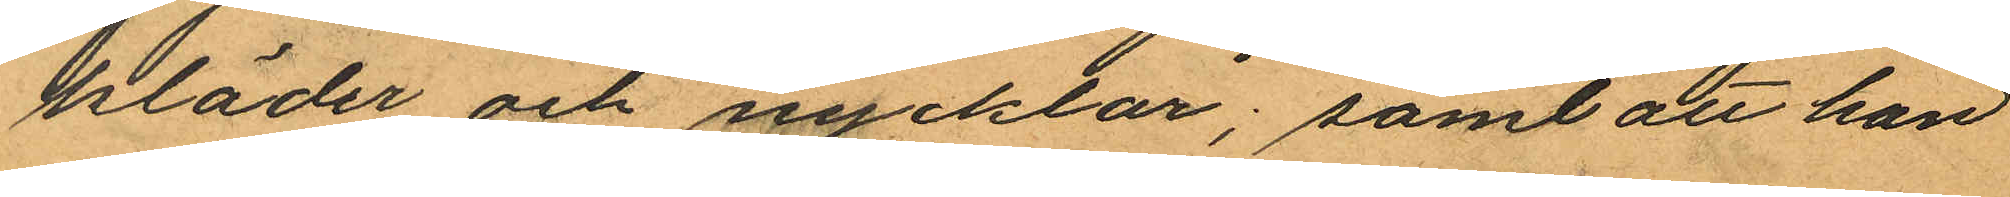kläder och nycklar; samt att han
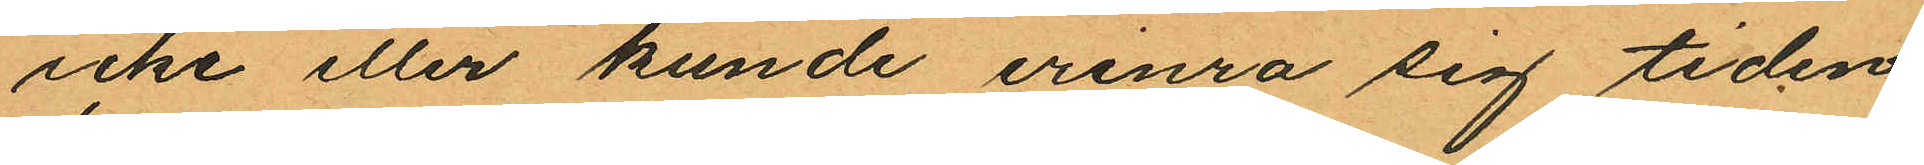icke eller kunde erinra sig tiden
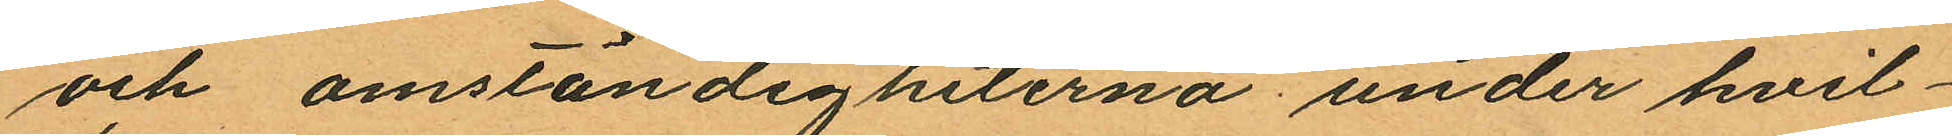och omständigheterna under hvil¬
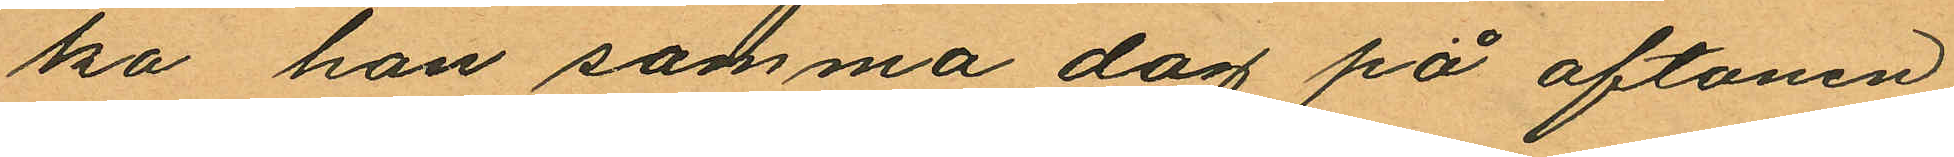ka han samma dag på aftonen
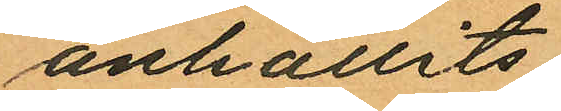anhållits.
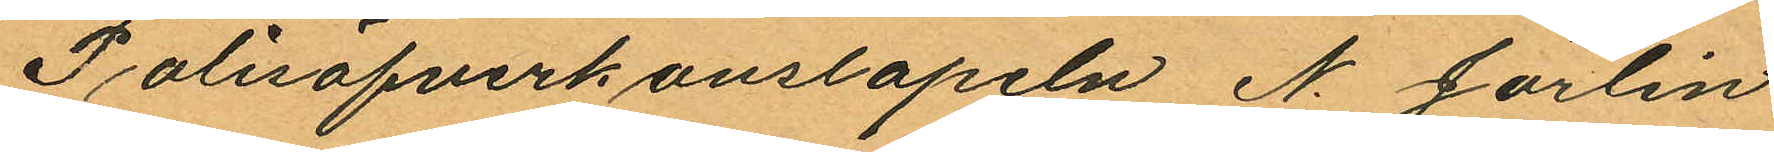Polisöfverkonstapeln N. Jörlin
